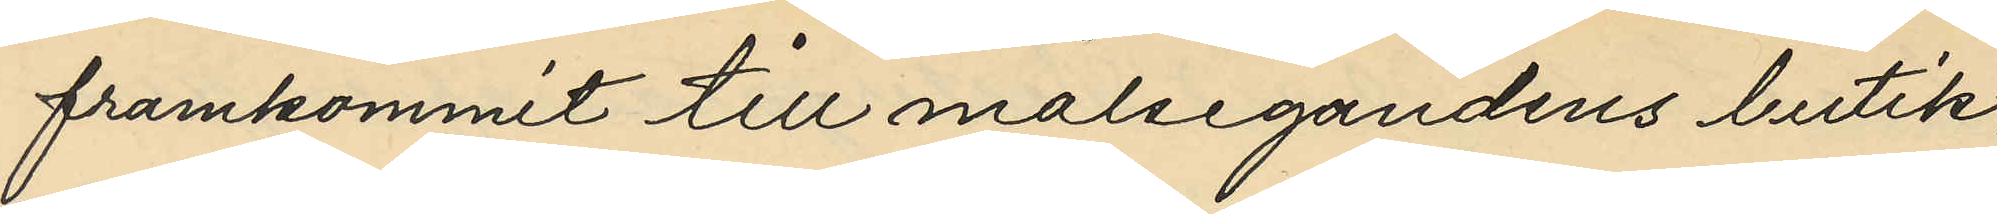framkommit till målsegandens butik,
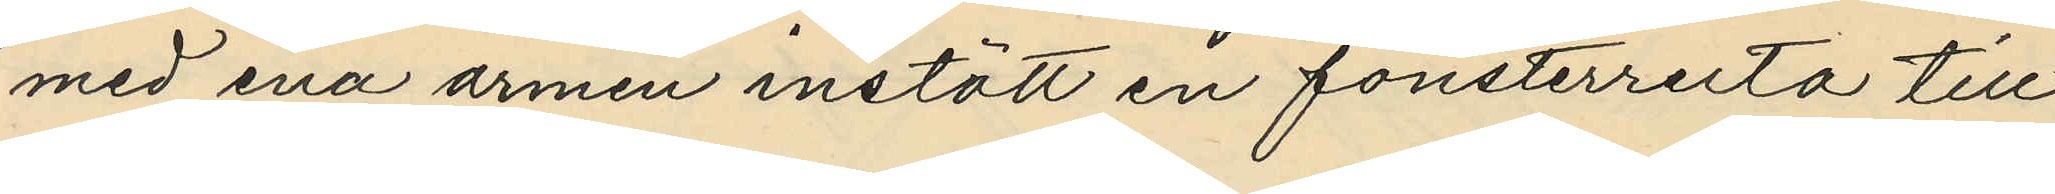med ena armen instött en fönsterruta till
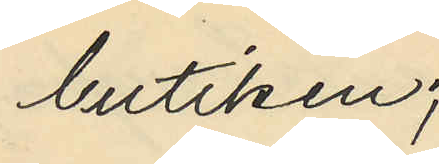butiken;
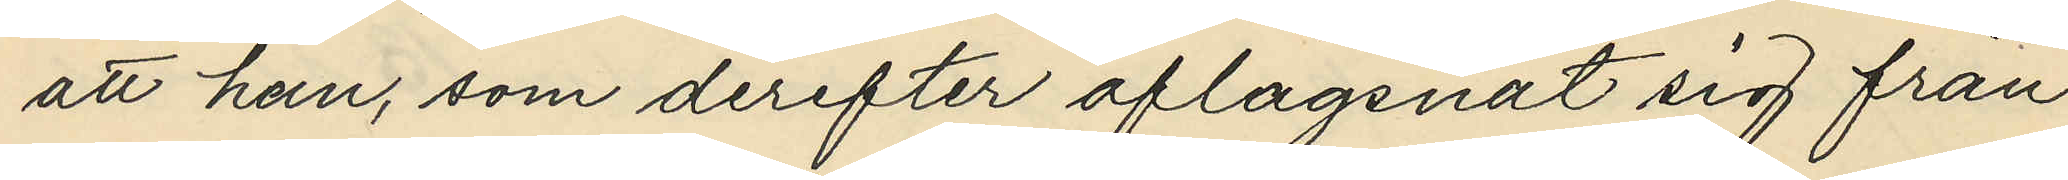att han, som derefter aflägsnat sig från
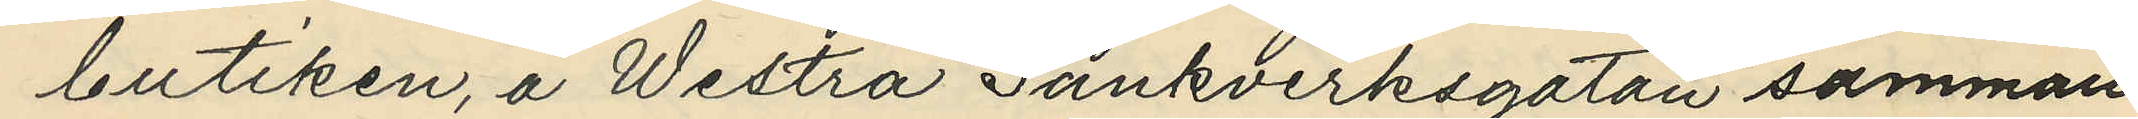butiken, å Westra Sänkverksgatan samman¬
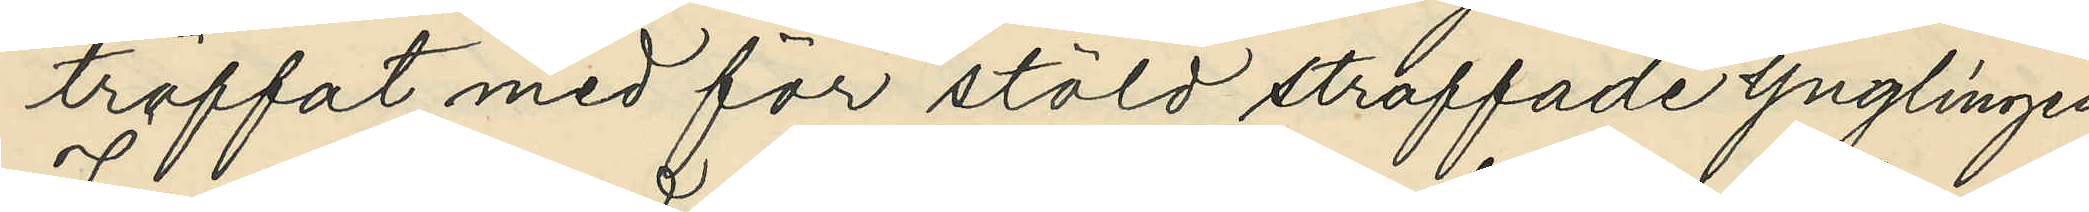träffat med för stöld straffade ynglingen
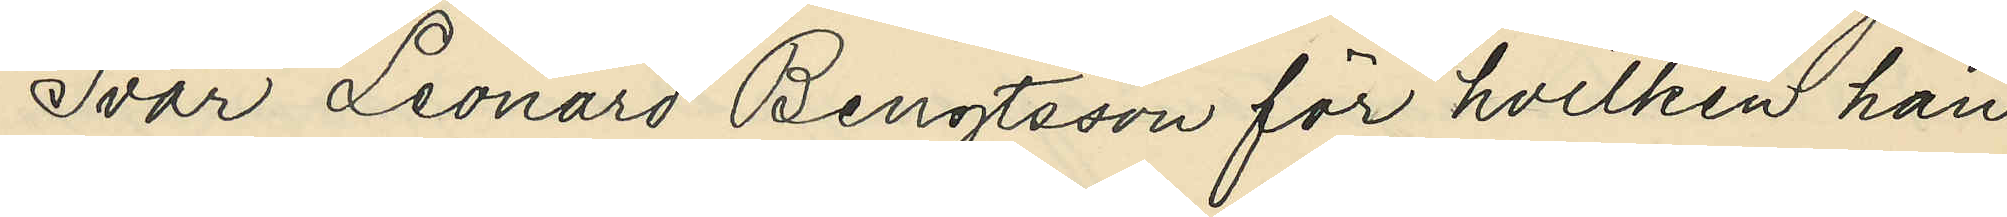Ivar Leonard Bengtsson för hvilken han
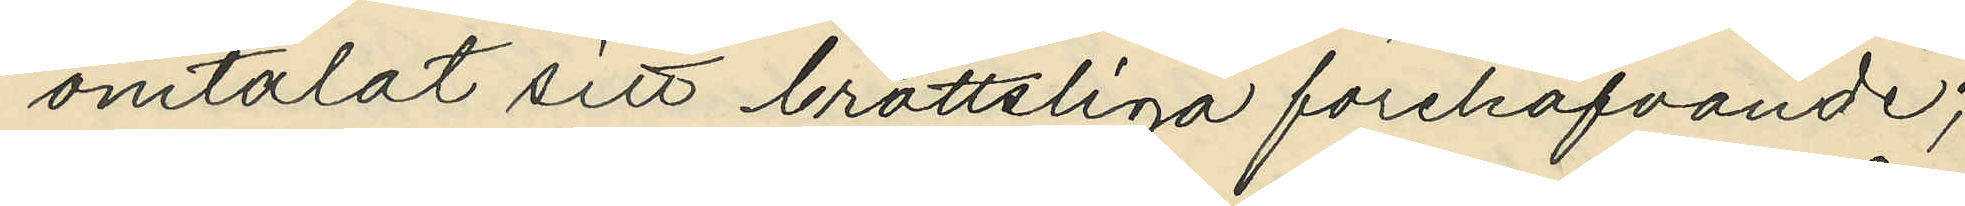omtalat sitt brottsliga förehafvande;
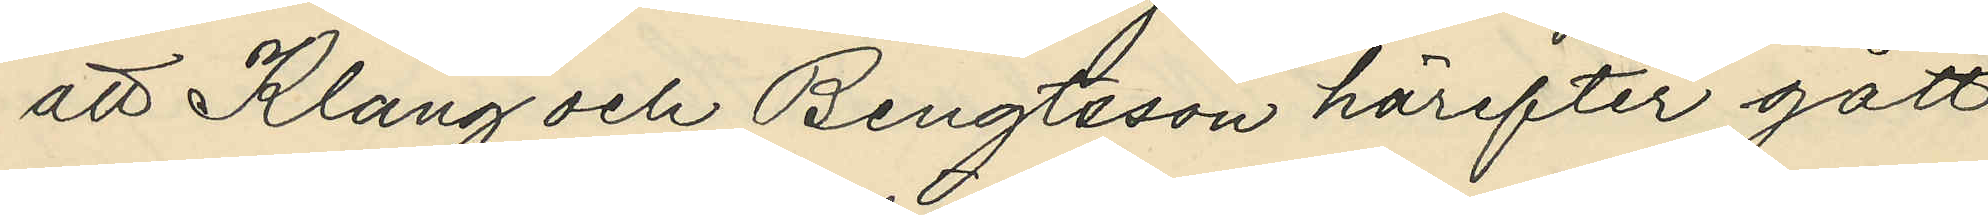att Klang och Bengtsson härefter gått
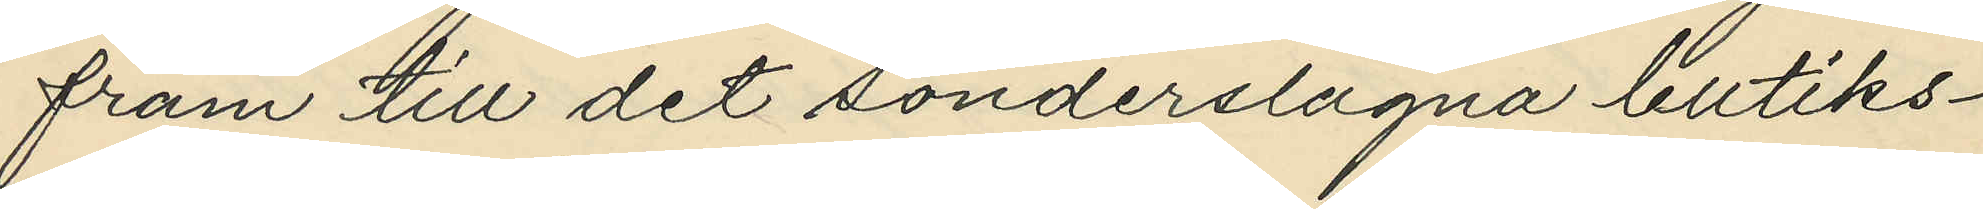fram till det sönderslagna butiks¬
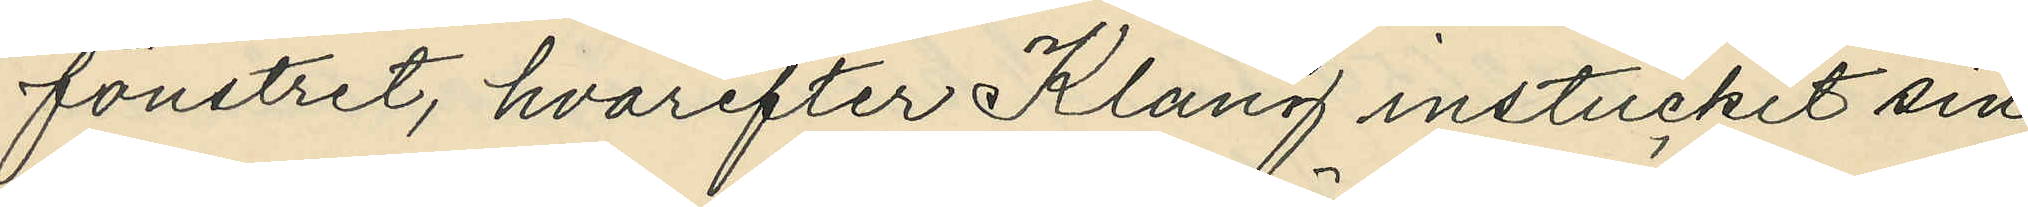fönstret, hvarefter Klang instuckit sin
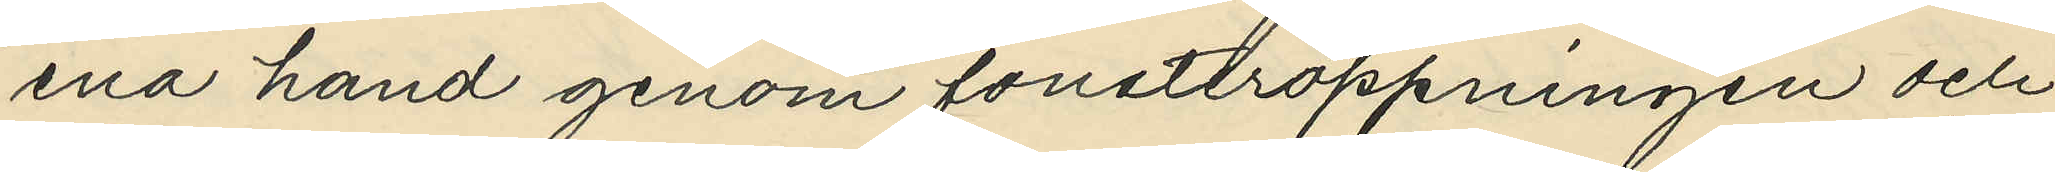ena hand genom fönsteröppningen och
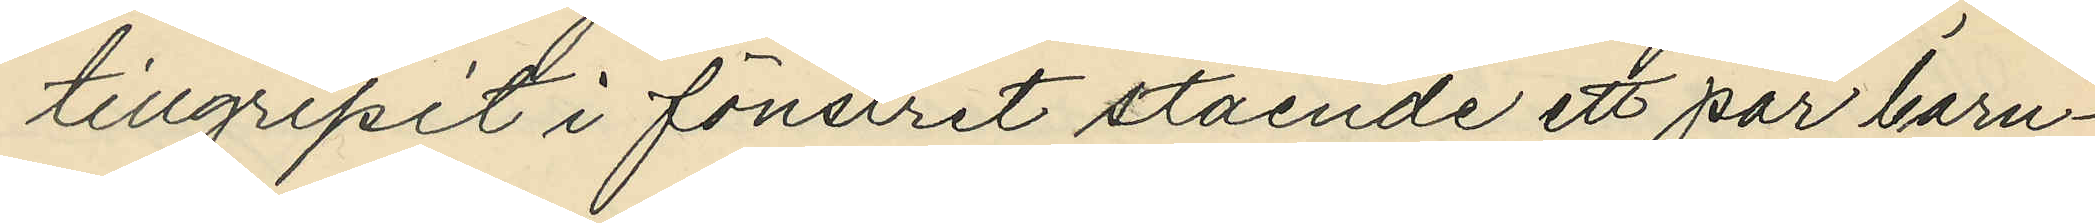tillgripit i fönstret stående ett par barn¬
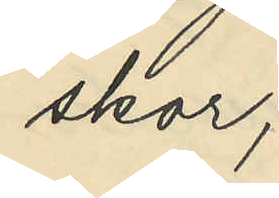skor;
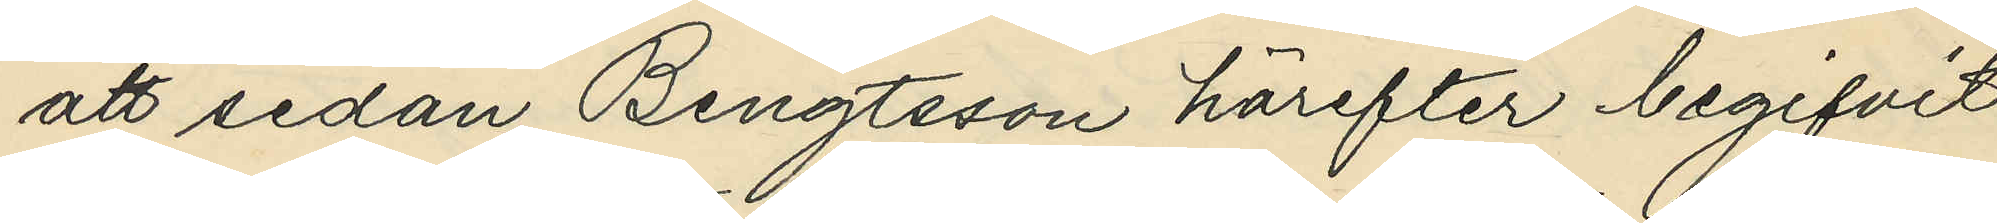att sedan Bengtsson härefter begifvit
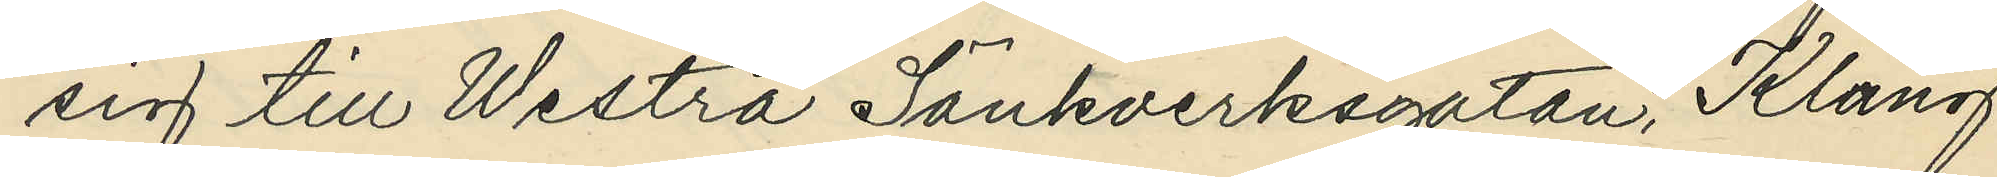sig till Westra Sänkverksgatan, Klang
